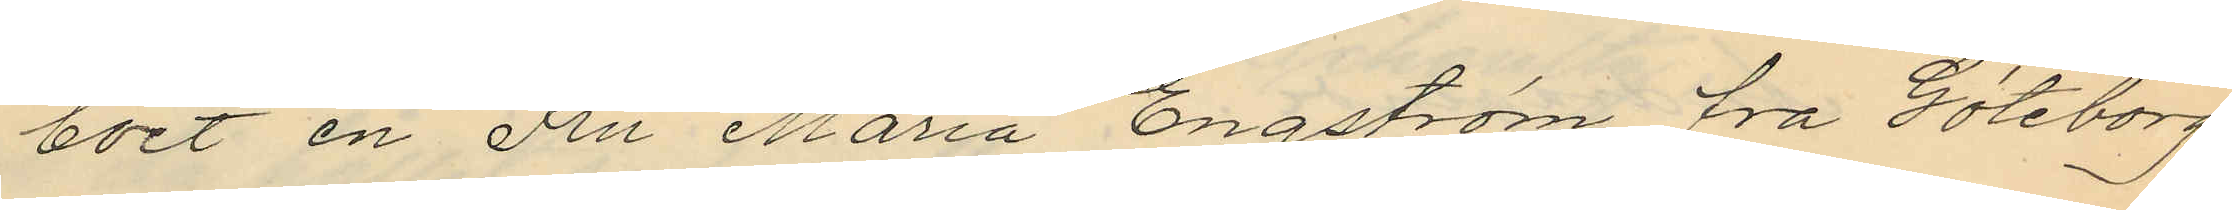boet en Fru Maria Engström fra Göteborg.
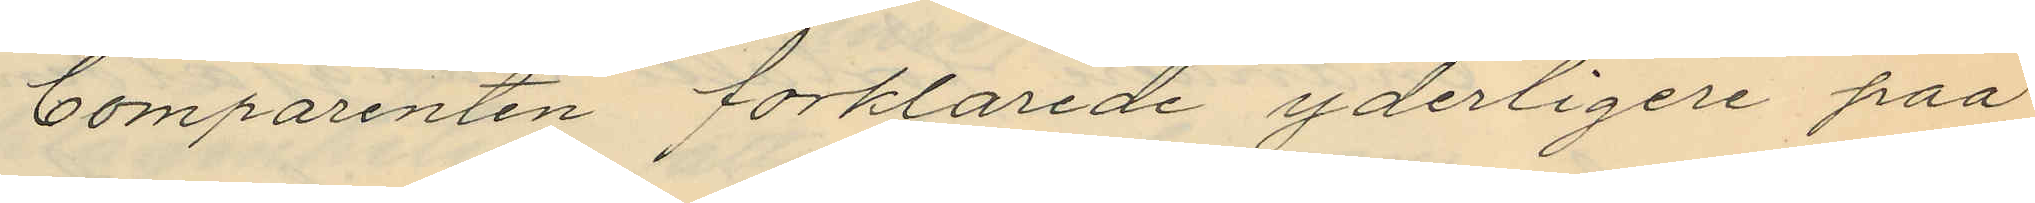Comparenten förklarade yderligere paa
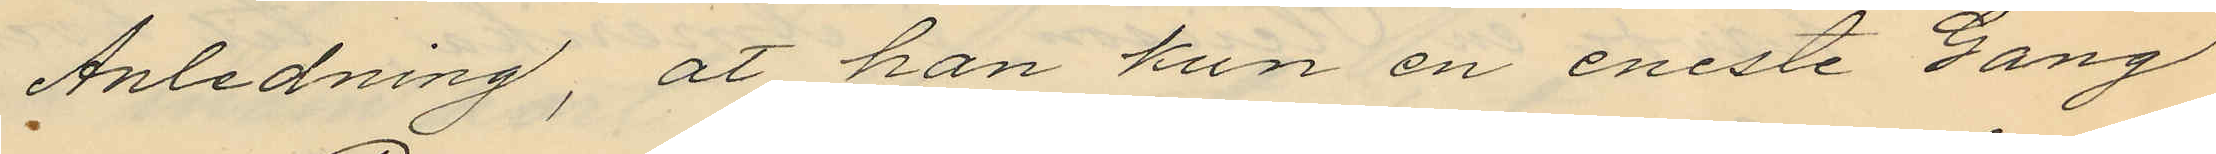Anledning, at han kun en eneste Gang
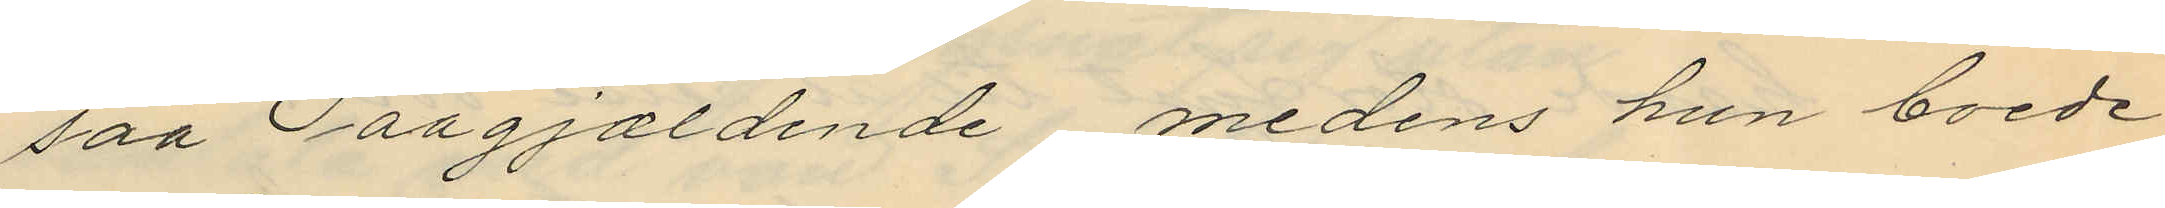saa Paagjaldende, medens hun boede
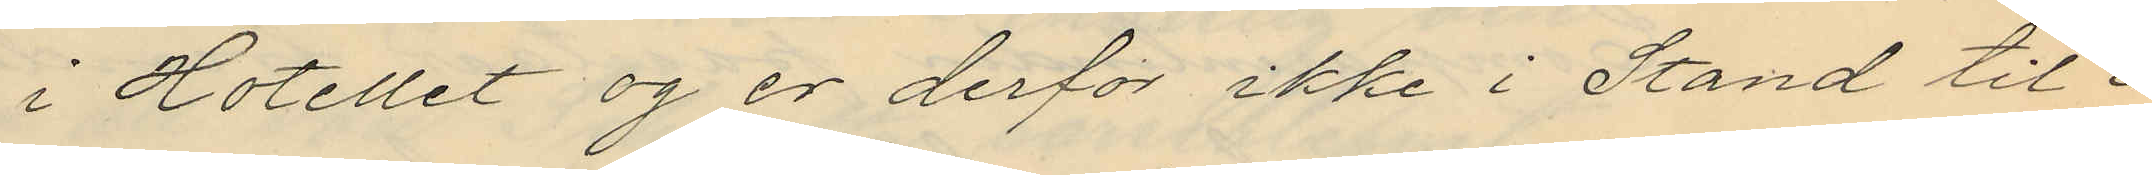i Hotellet og er derfor ikke i Stand til i
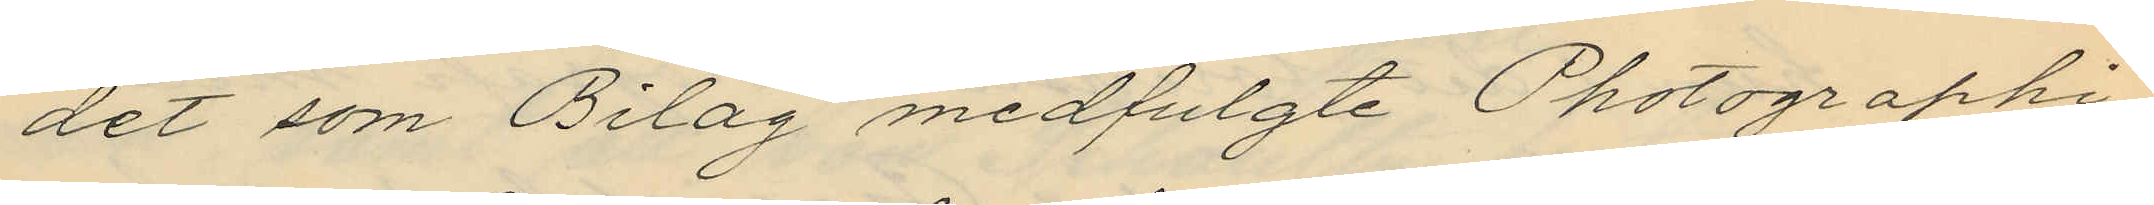det som Bilag medfulgte Photographi¬
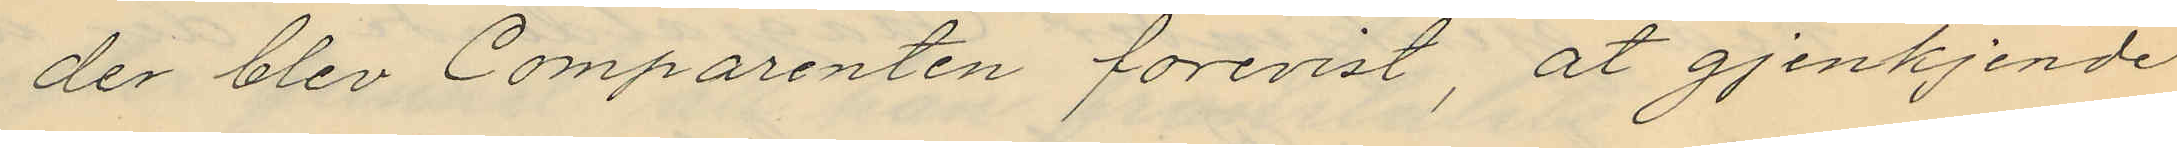der blev Comparenten forevist, at gjenkjende
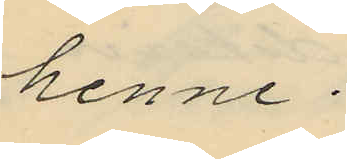henne.
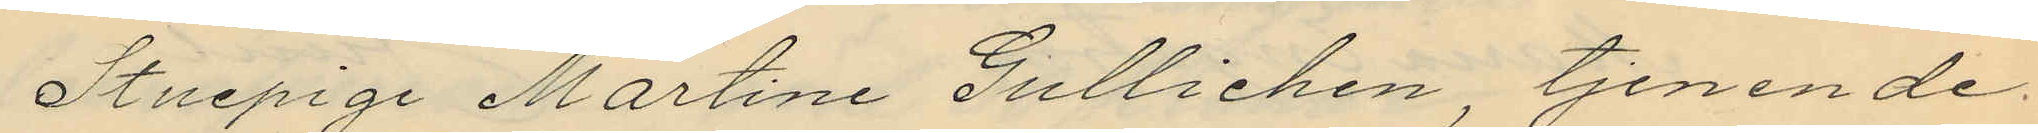Stuepige Martine Gullichen, tjenende
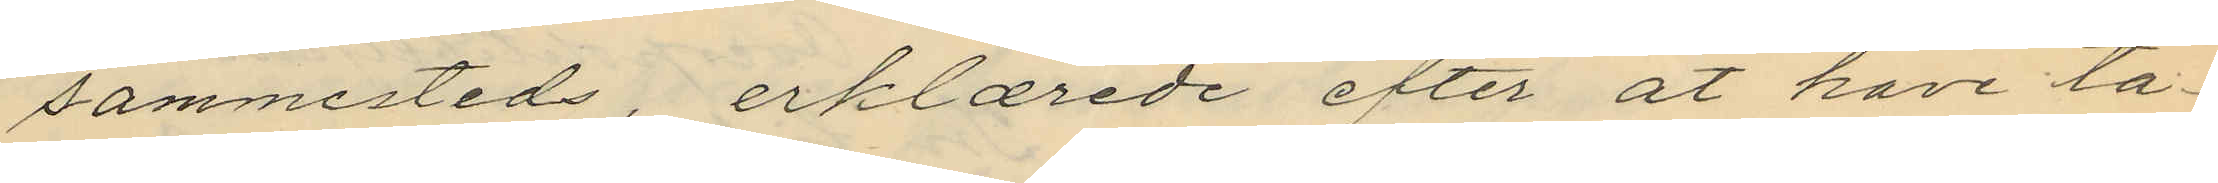sammesteds, erklærede efter at have ta¬
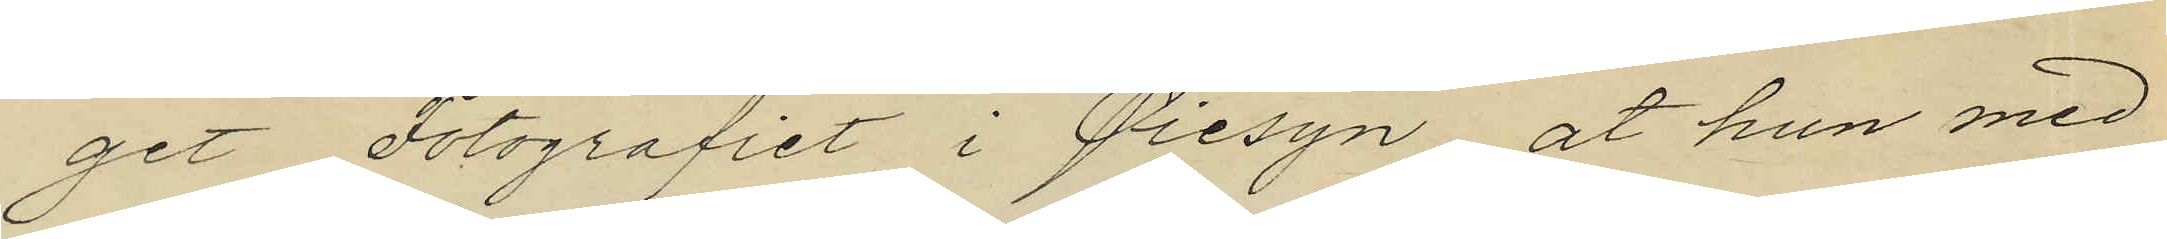get Fotografiet i Piesyn, at hun med
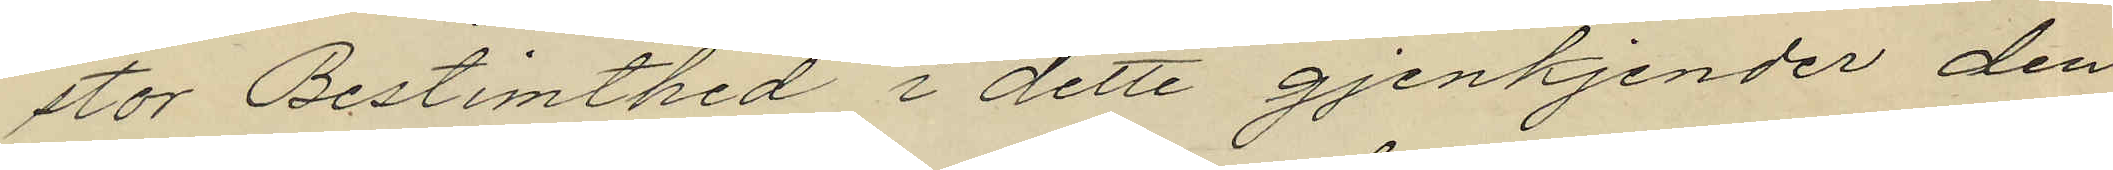stor Bestimthed i dette gjenkjender den
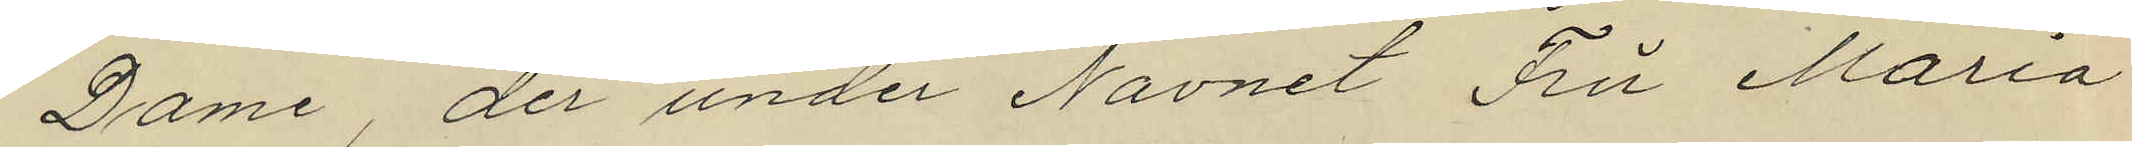Dame, der under Navnet Fru Maria
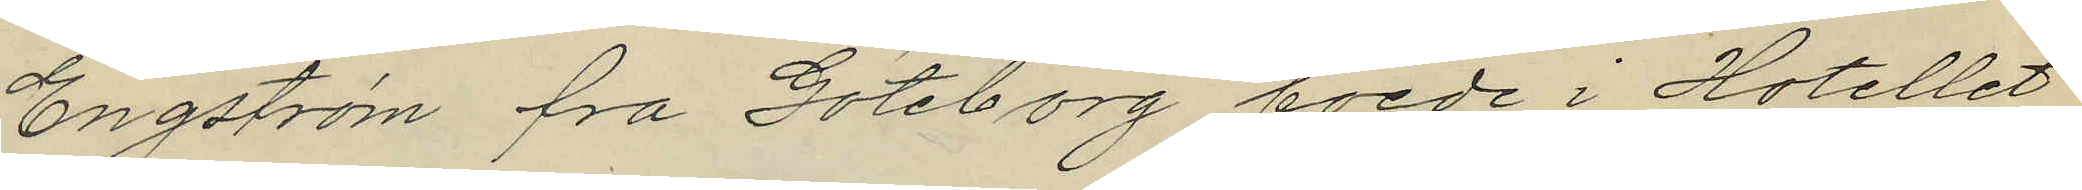Engström fra Göteborg boede i Hotellet
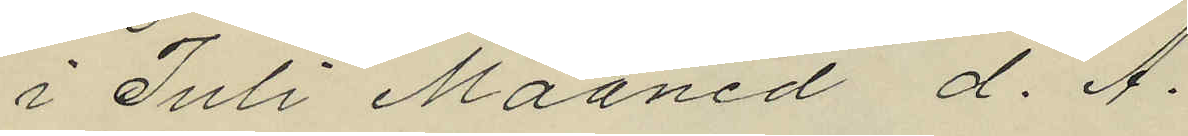i Juli Maaned d. A.
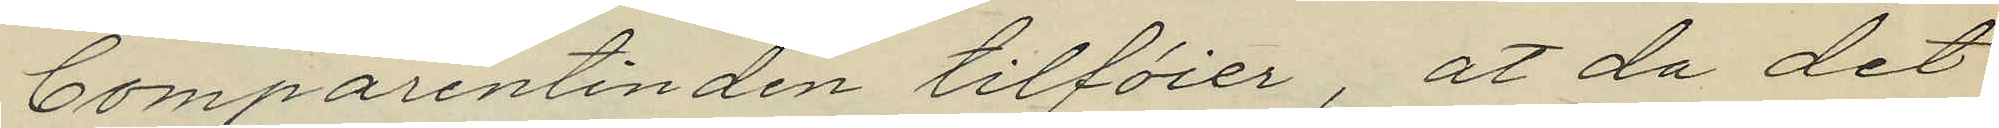Comparentinden tilförer, at da det
